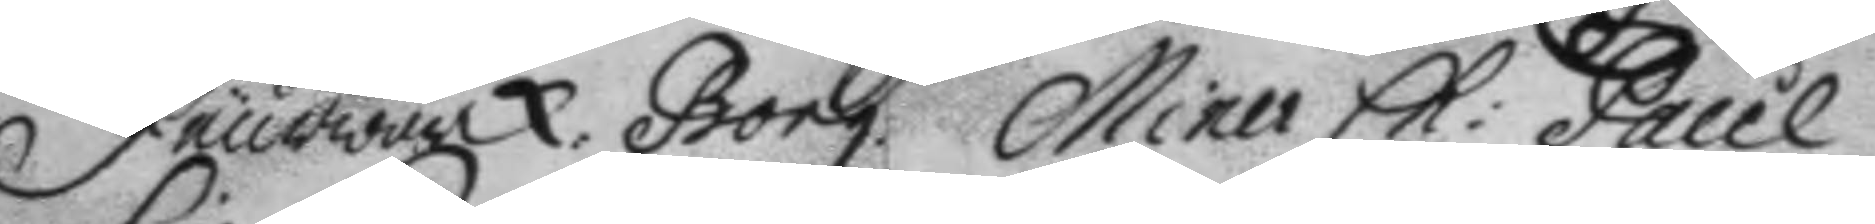deurwärck. Borg. Miner Ch: Paul
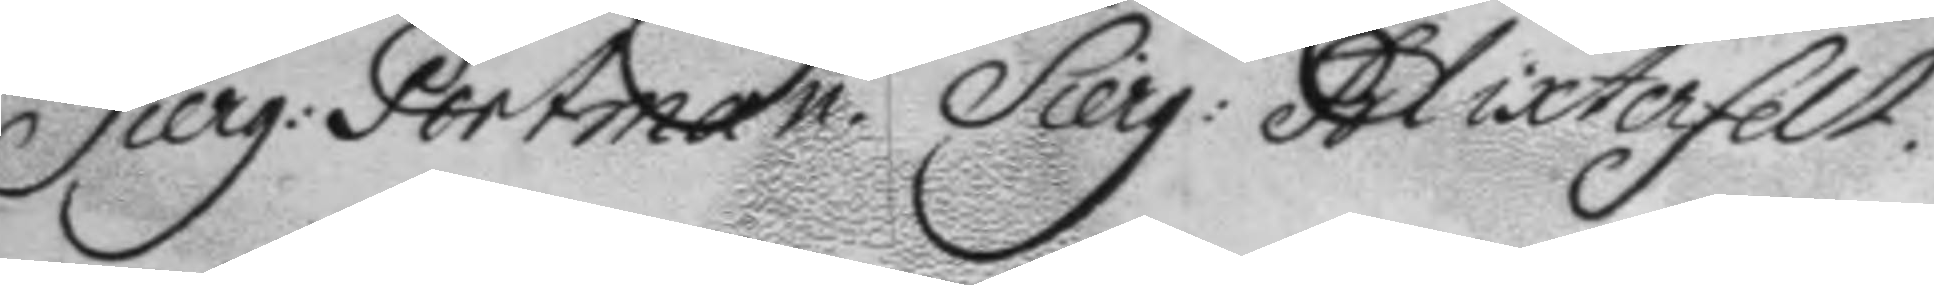Sierg: Portman. Sierg: Blixterfelt.
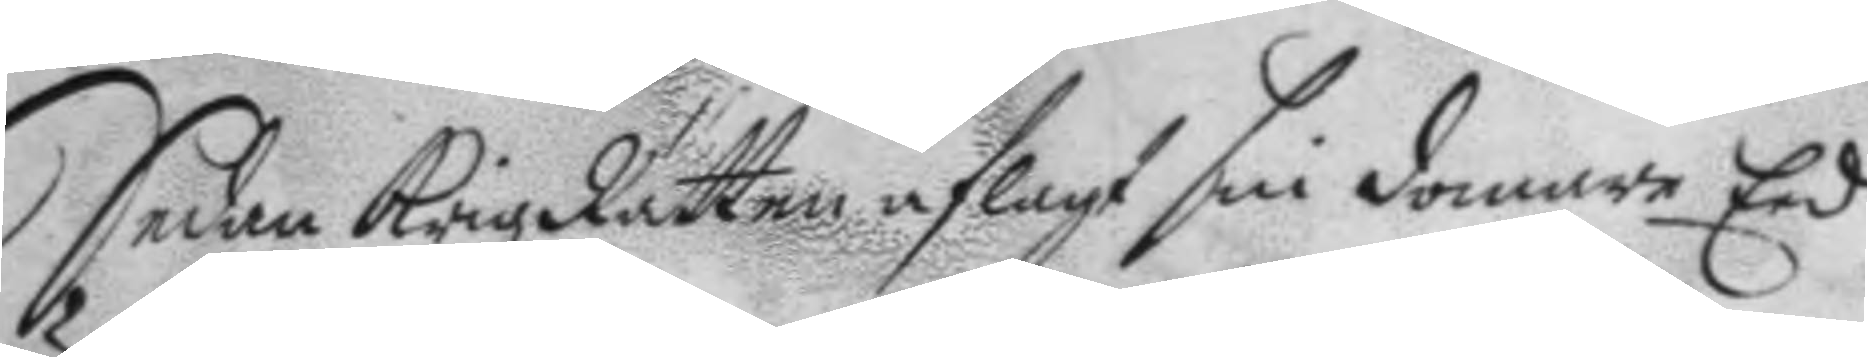Sedan KrigzRätten aflagt sin domare Eed
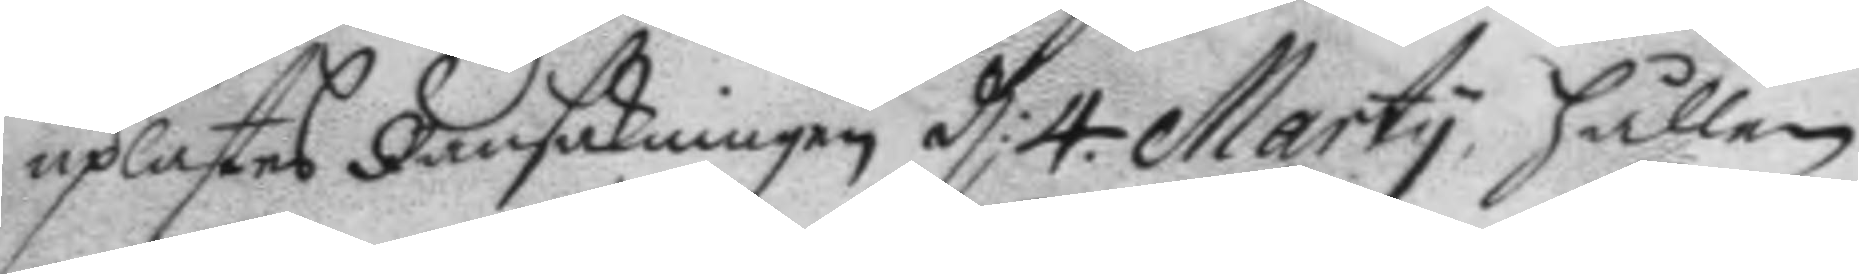uplästes Ransakningen d: 4. Marty, hållen
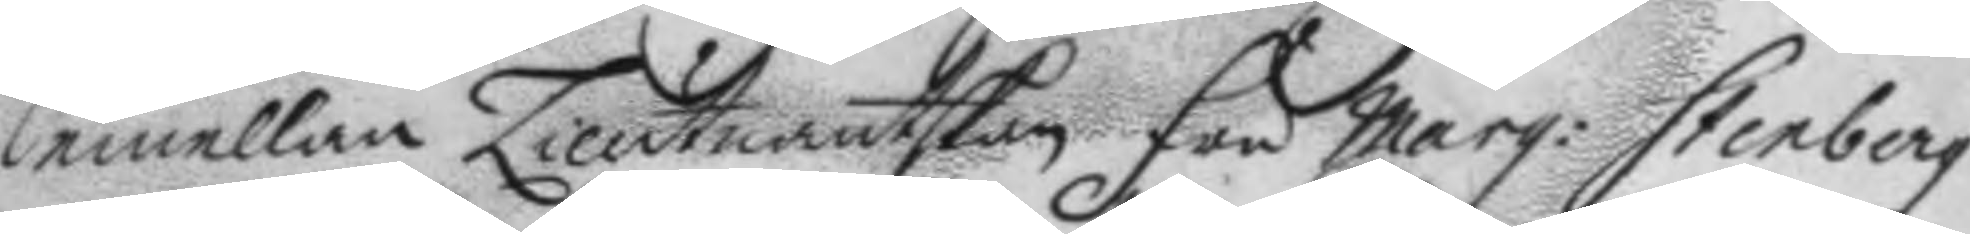emellan Lieutnantskan fru Marg: Stenberg
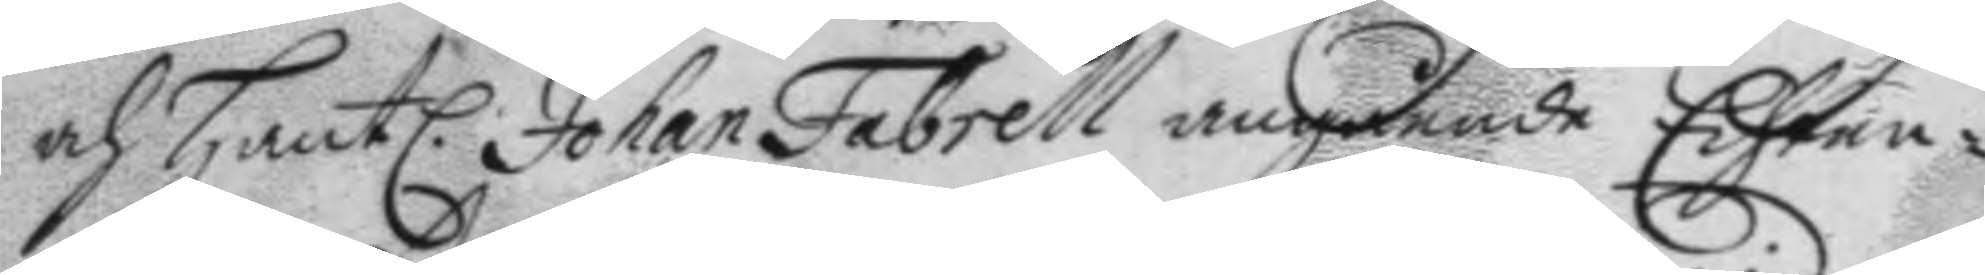och Hantl. Johan Fabrell angående Echten¬
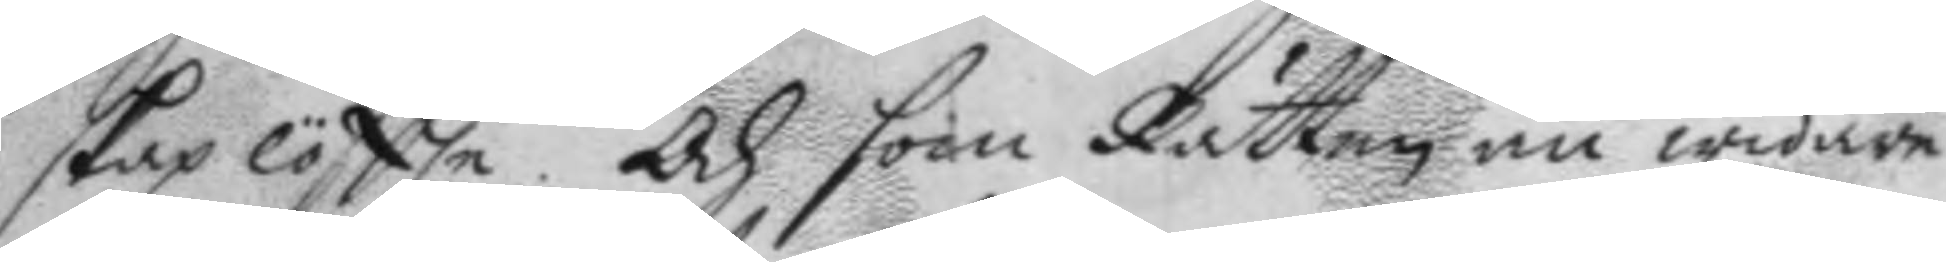skap löftte. Och som Rätten nu widare
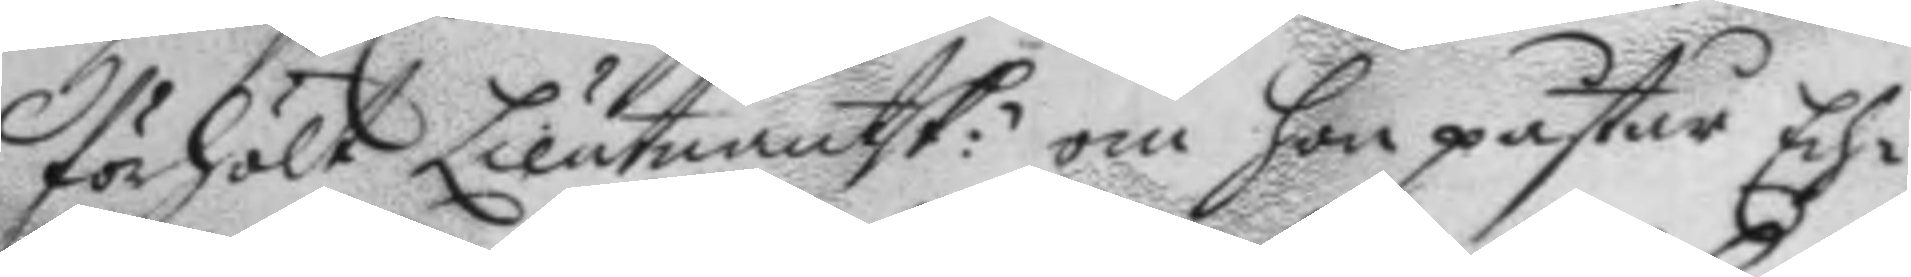förhölt Lieutnantsk: om hon påstår Ech¬
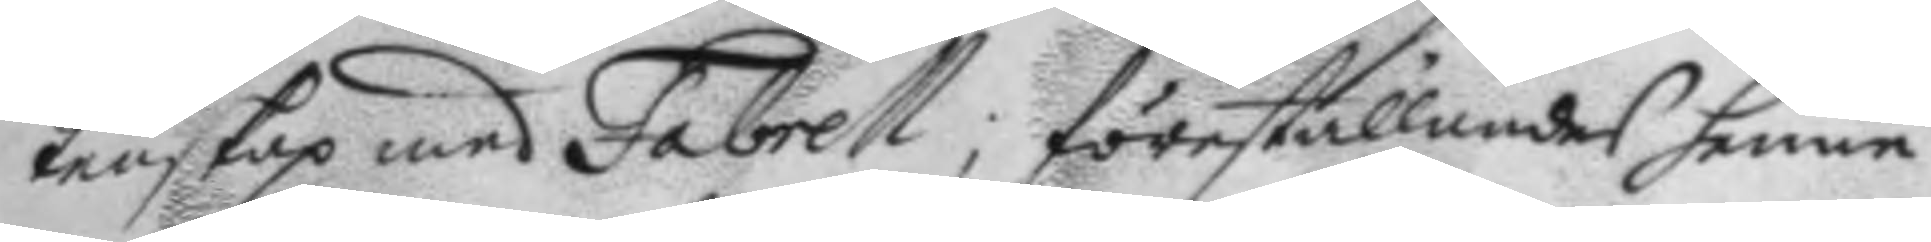tenskap med Fabrell, föreställandes henne
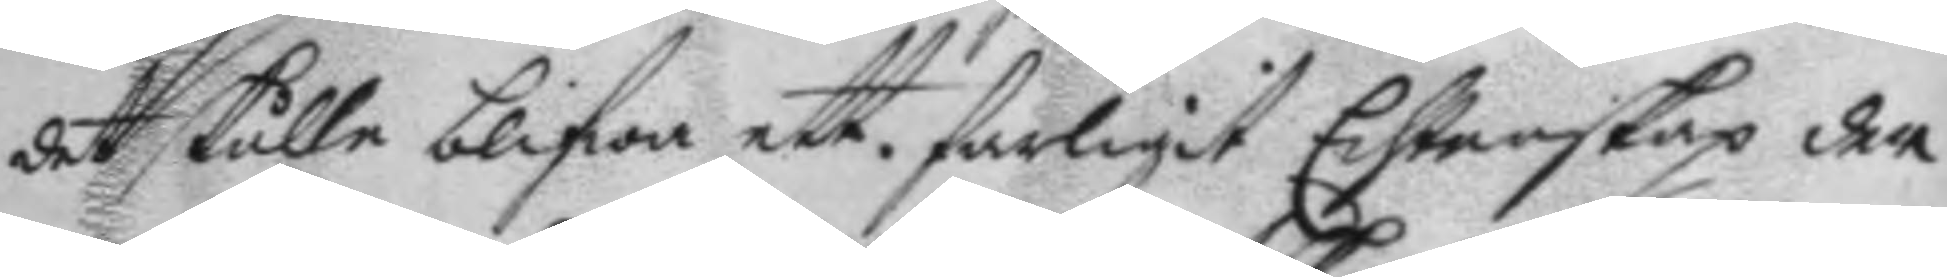det skulle blifwa ett farligt Echtenskap der
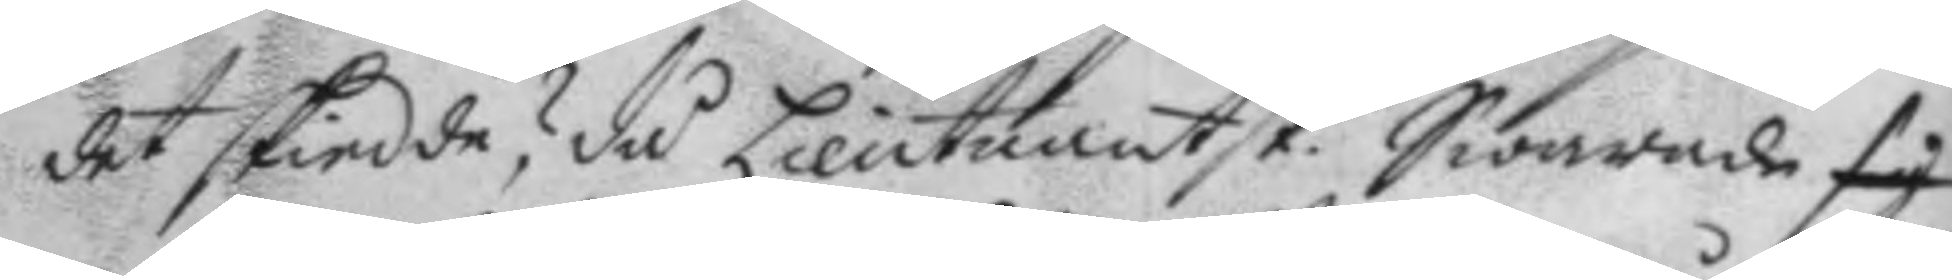det skiedde? då Lieutnantsk. Swarade sig
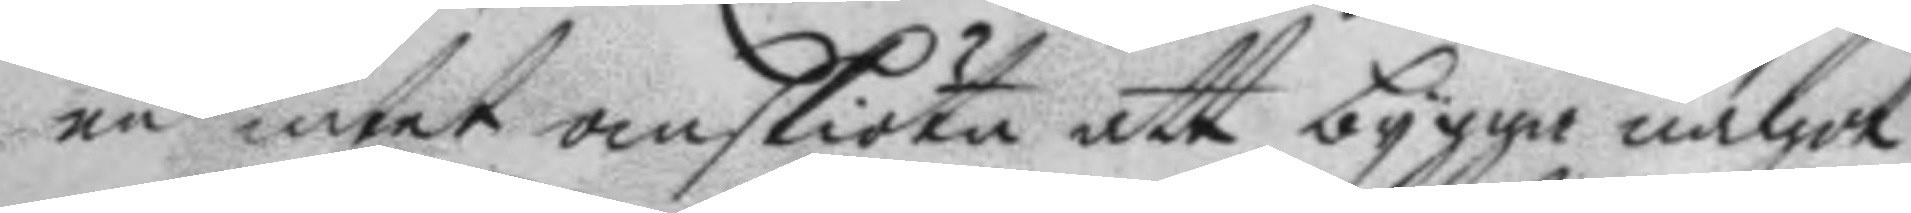nu intet om skiöta att bygga något
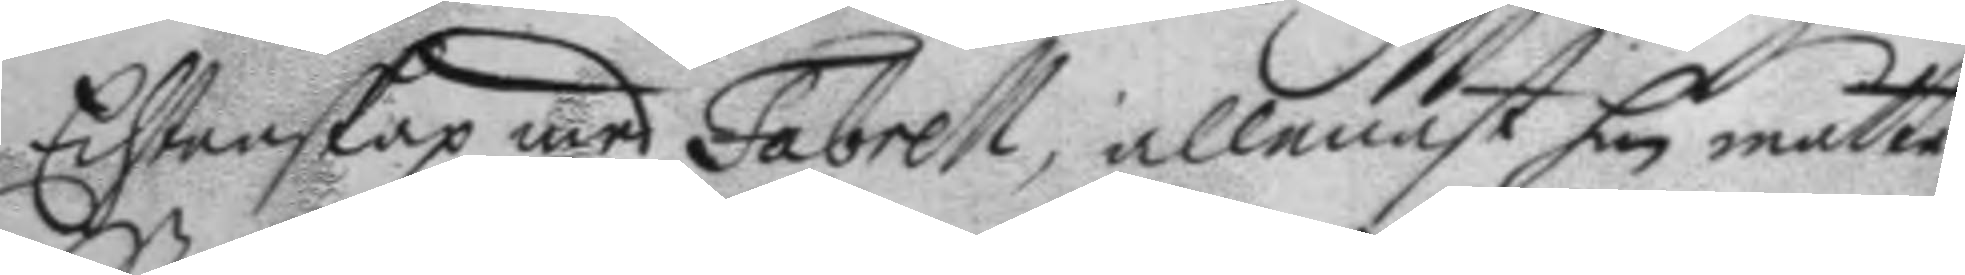Echtenskap med Fabrell; allenast han måtte
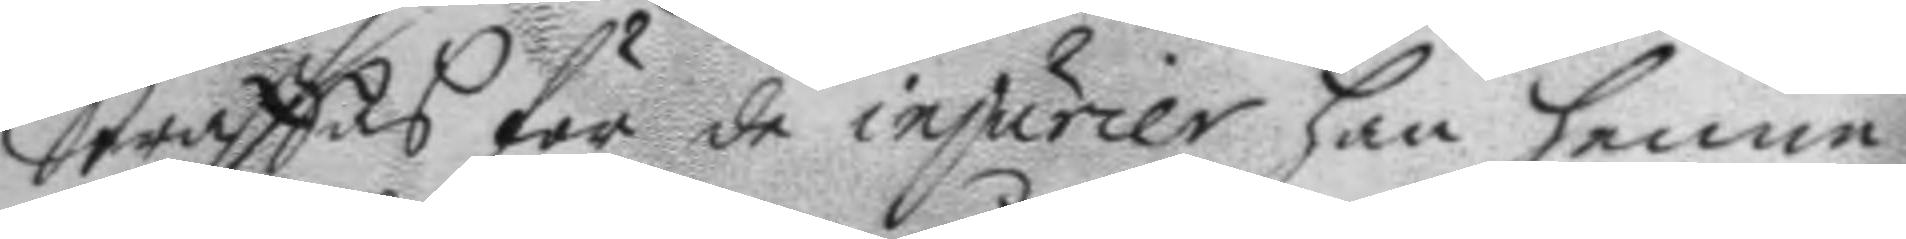Straffas för de injurier han henne
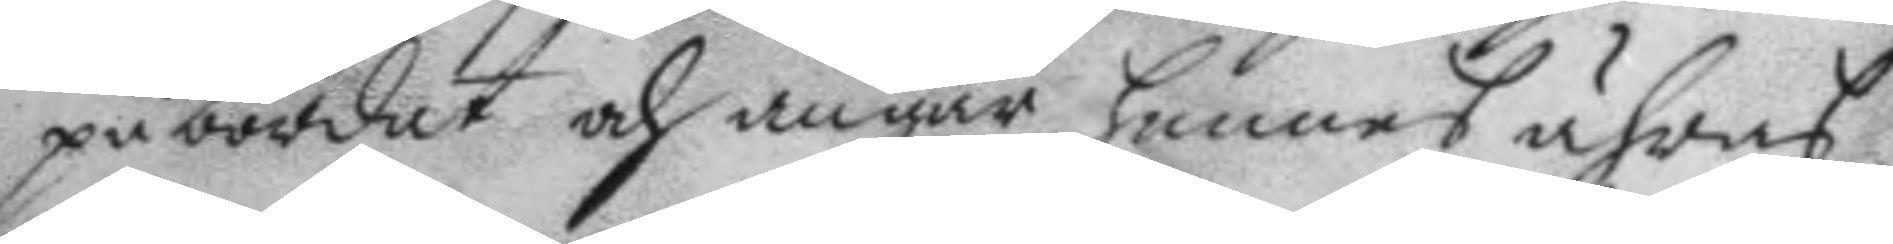påbördat och angår hennes ähras
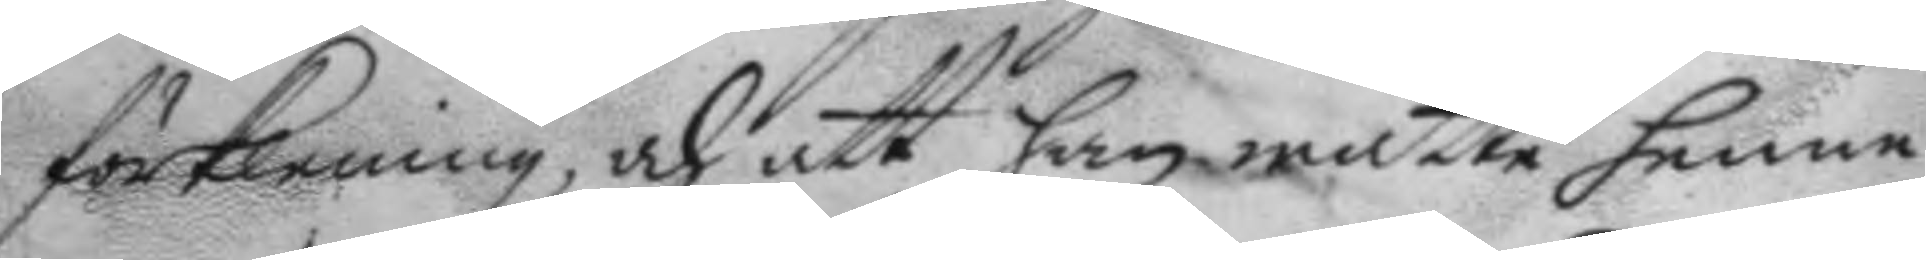förklening, och att han måtte henne
